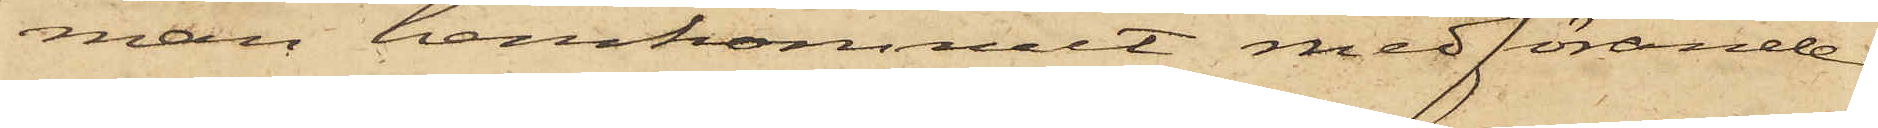man hemkommit medförande
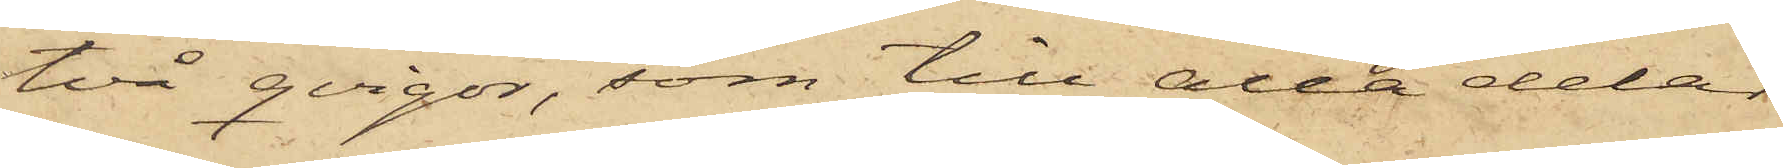två qvigor, som till alla delar
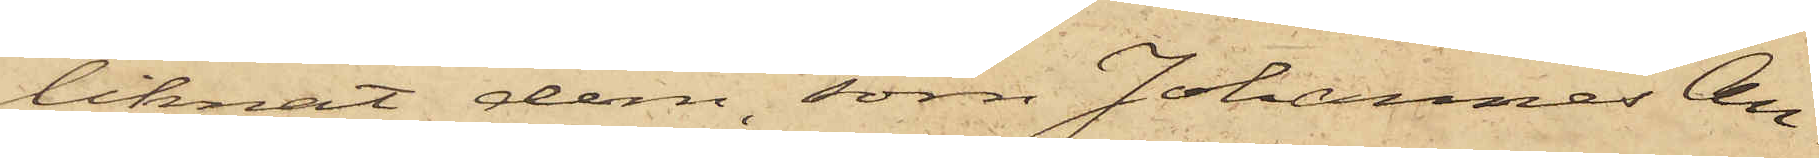liknat dem, som Johannes An¬
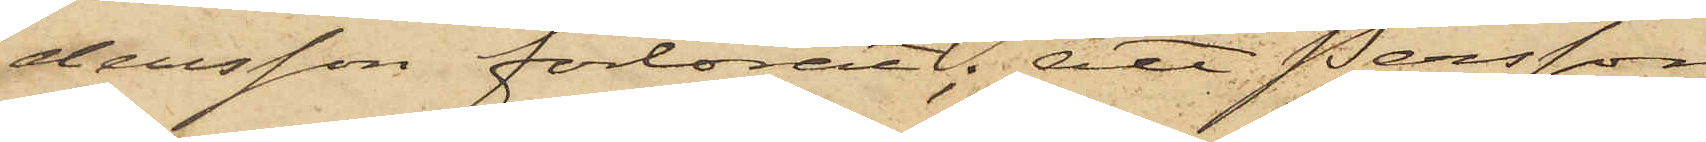dersson förlorat; att Persson
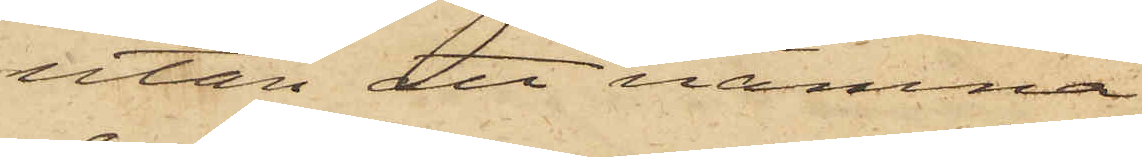utan att nämna
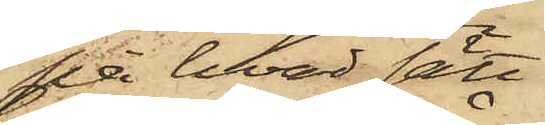på hvad sätt
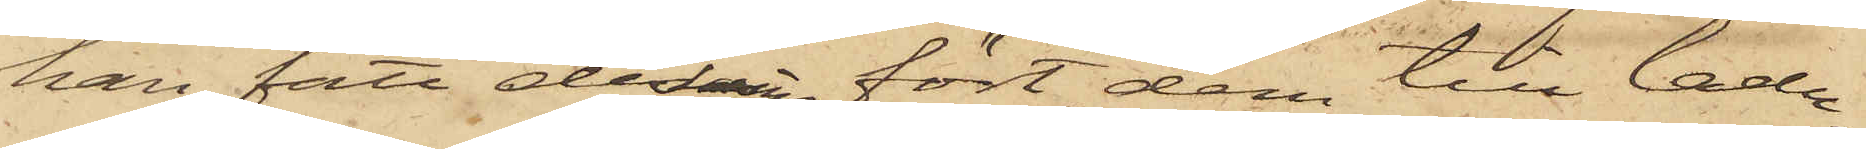han fått desamme, fört dem till ladu¬
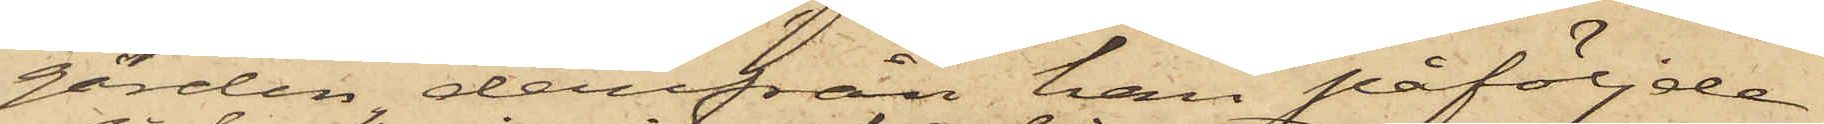gården, derifrån han påföljde
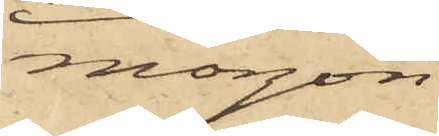morgon
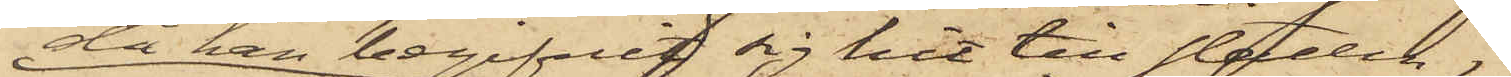då han begifvit sig hit till staden
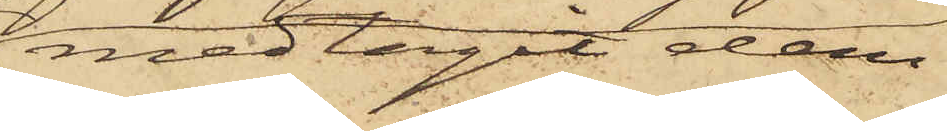medtagit dem;
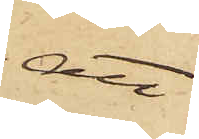att
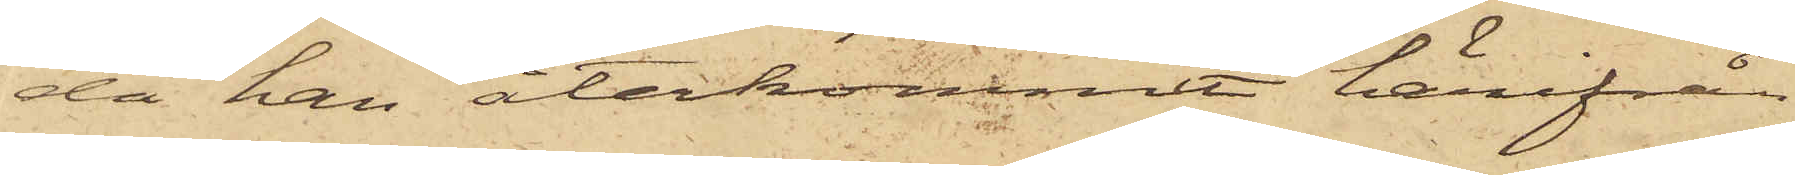då han återkommit härifrån
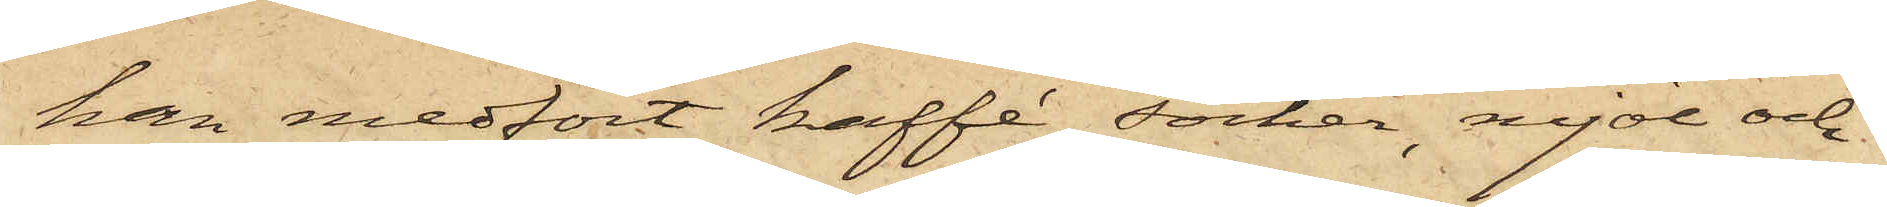han medfört kaffe, socker, mjöl och
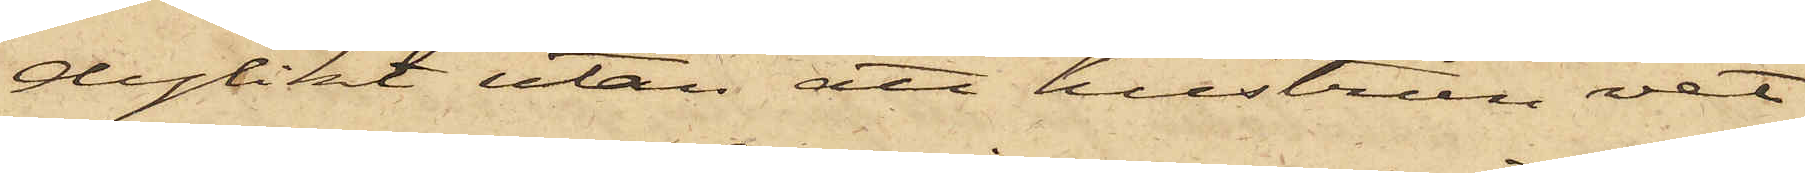dylikt utan att hustrun vet
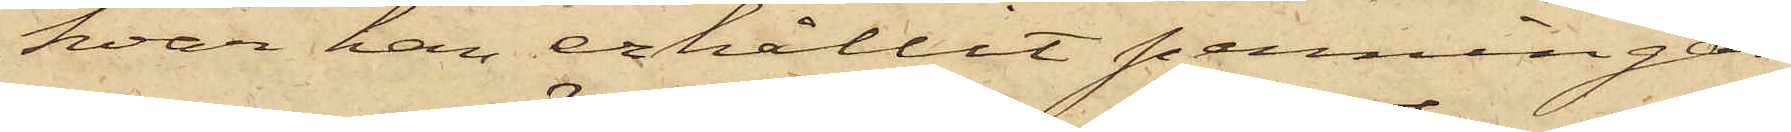hvar han erhållit penningar
